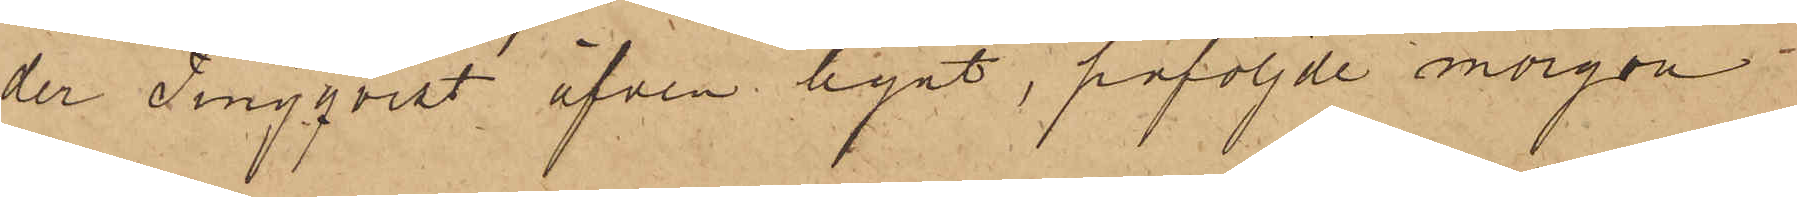der Tingqvist äfven hyrt, påföljde morgon
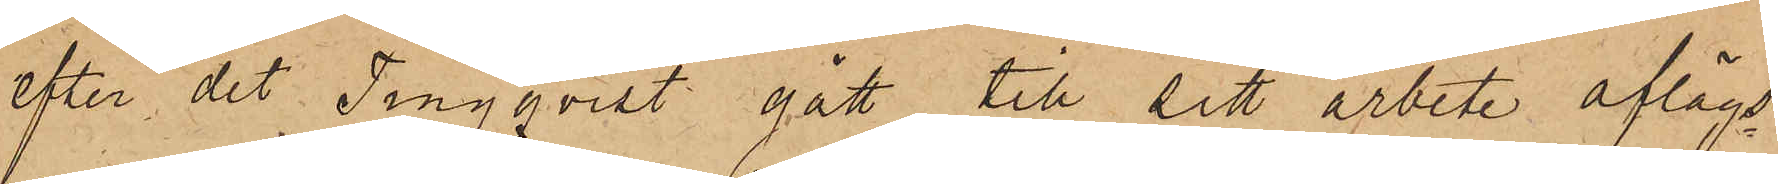efter det Tingqvist gått till sitt arbete aflägs¬
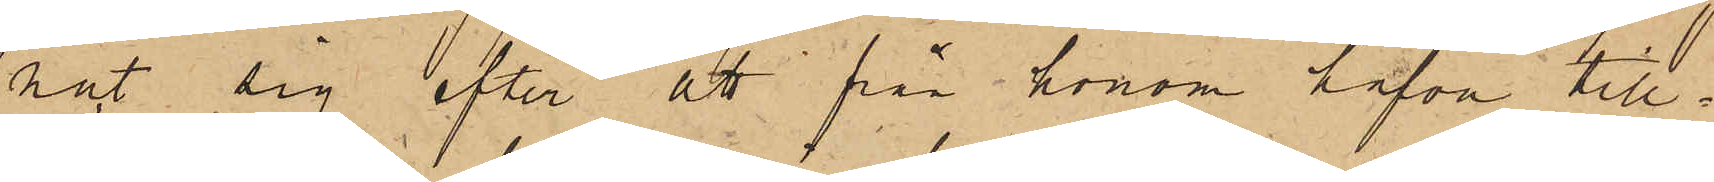nat sig efter att från honom hafva till¬
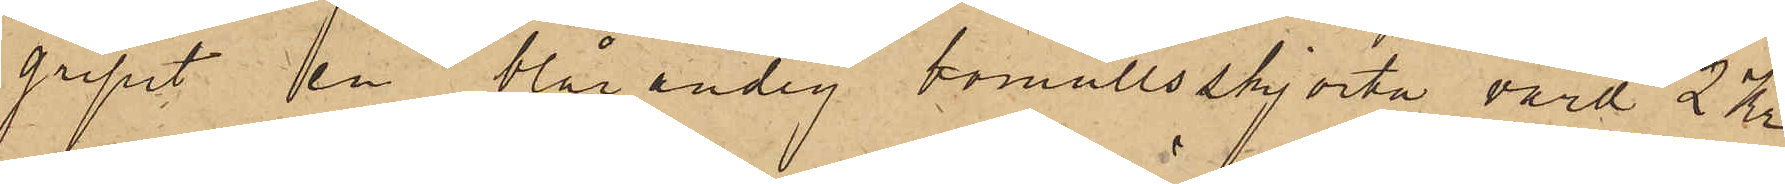gripit på blårandig bomullsskjorta, värd 2 Kr
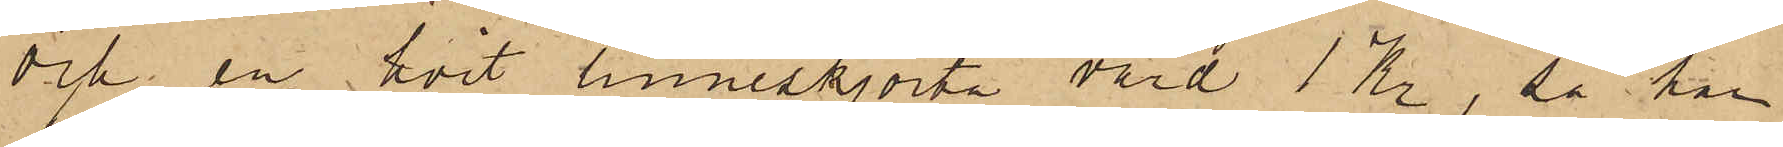och en hvit linneskjorta värd 1 Kr, så har
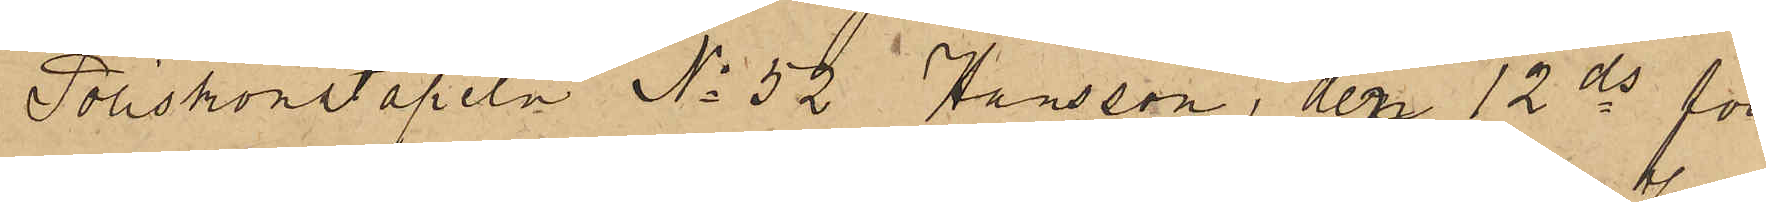Poliskonstapeln No 52 Hansson, den 12 ds för
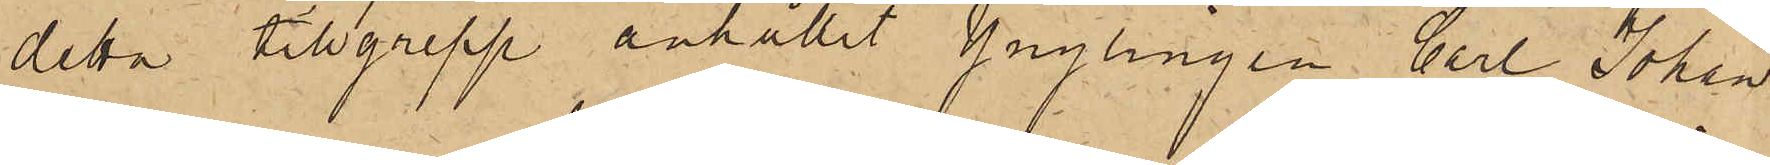detta tillgrepp anhållit ynglingen Carl Johan
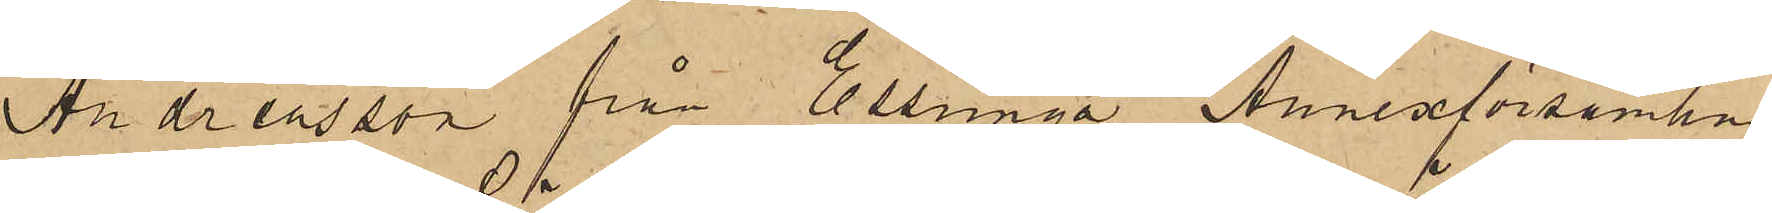Andreasson från Essunga Annexförsamling
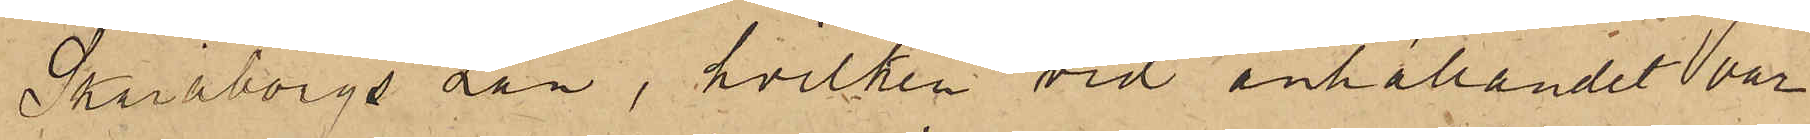Skaraborgs län, hvilken vid anhållandet var
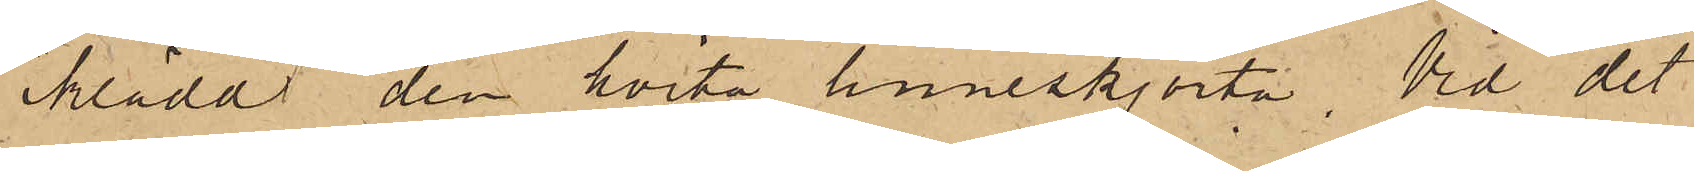iklädd den hvita linneskjorta. Vid det
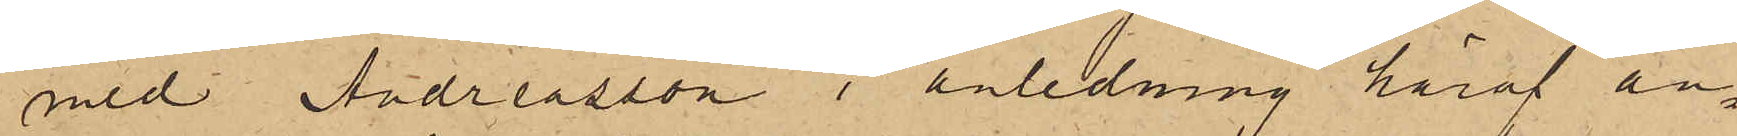med Andreasson i anledning häraf an¬
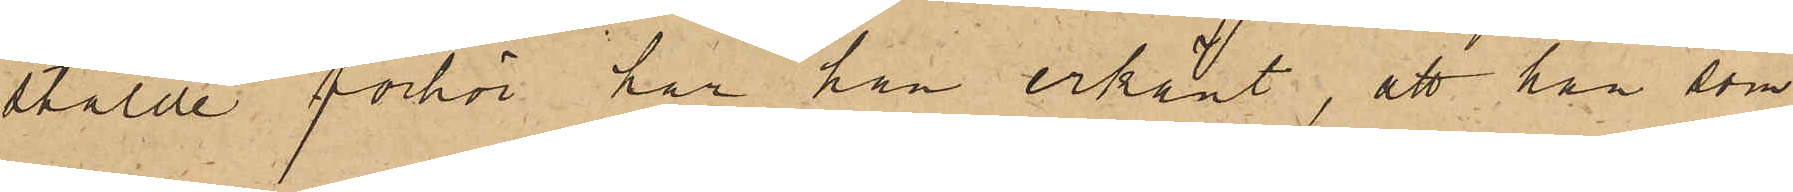stälde förhör har han erkänt, att han som
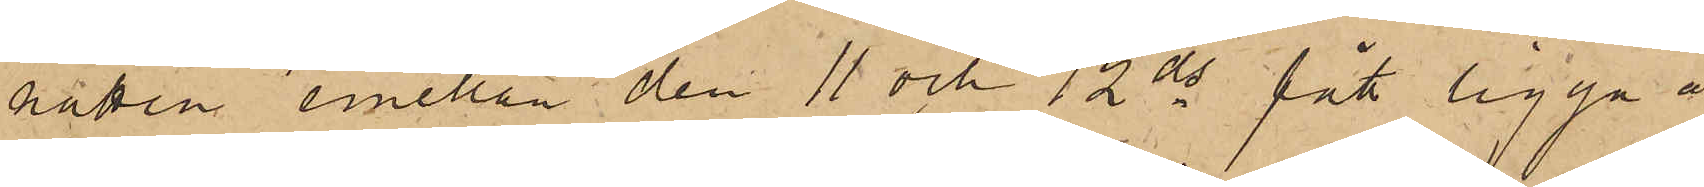natten emellan den 11 och 12 ds fått ligga å
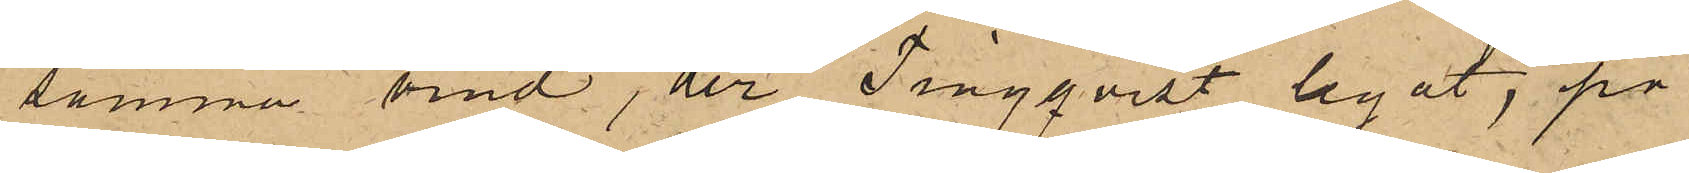samma vind, der Tingqvist legat, på
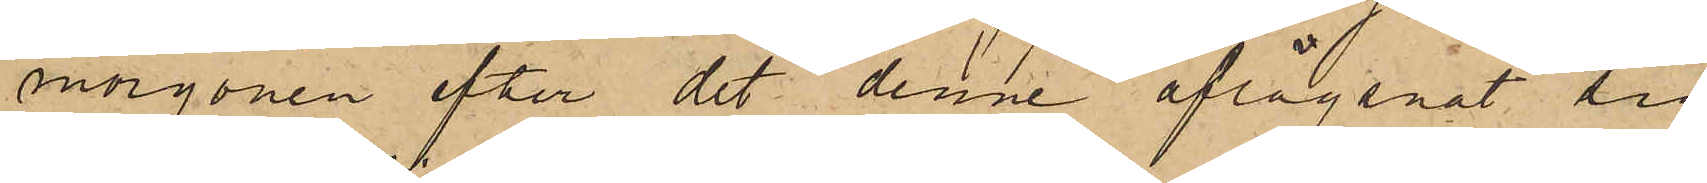morgonen efter det denne aflägsnat sig
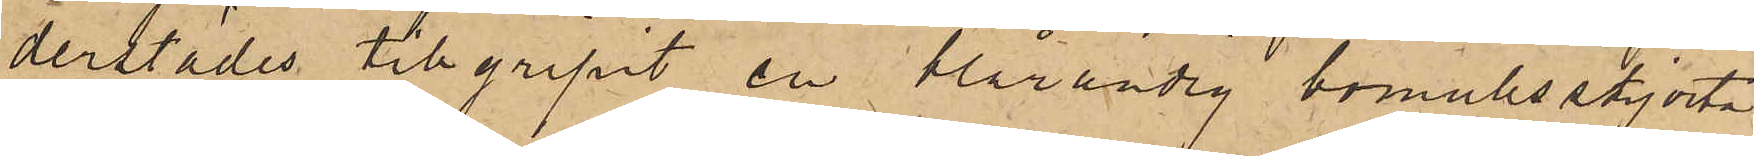derstädes tillgripit en blårandig bomullsskjorta
